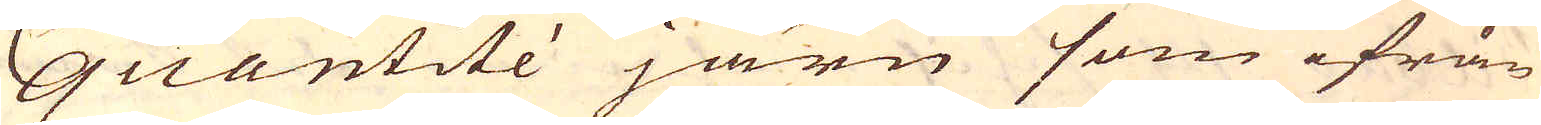quantité järn som ifrån
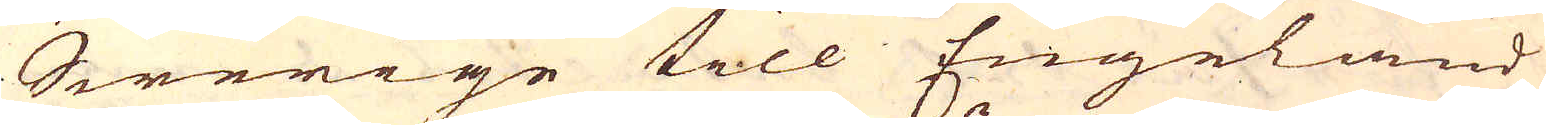Swerige till Engeland
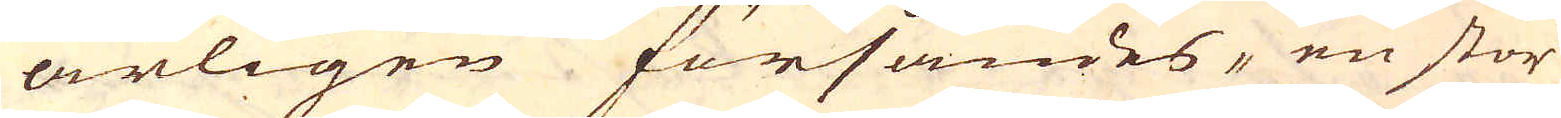årligen försändes, en stor
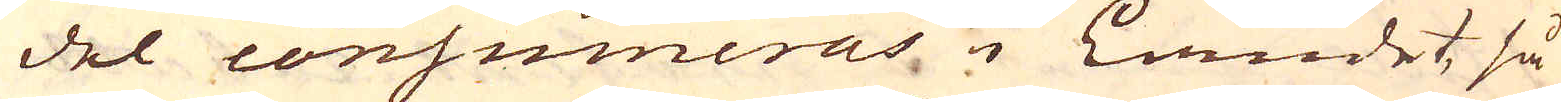del consumeras i Landet, så
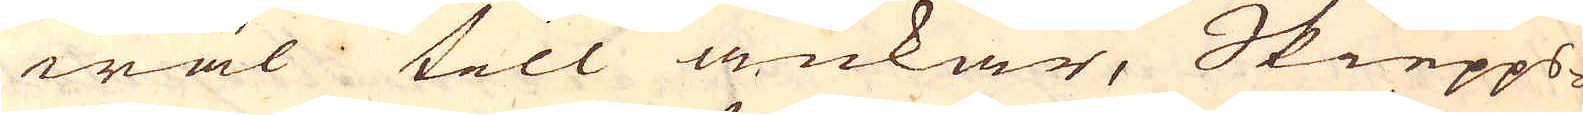wäl till ankar, Skiepps-
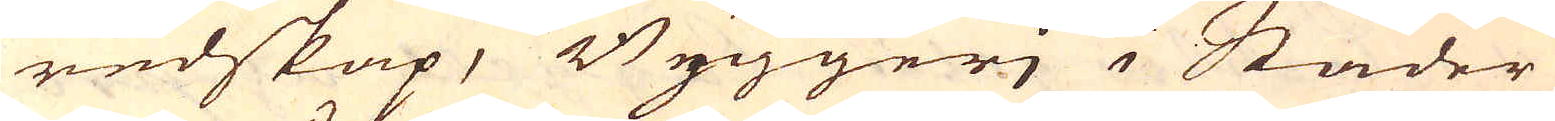redskap, Byggerj i Städer
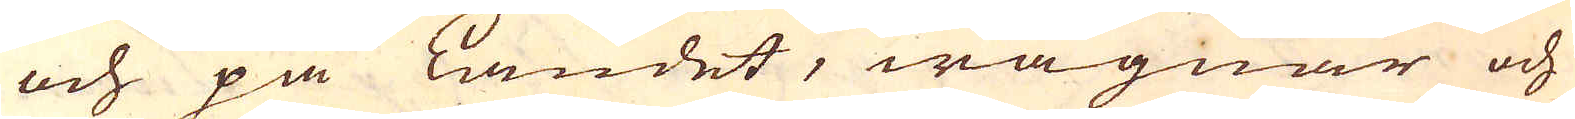och på Landet, wagnar och
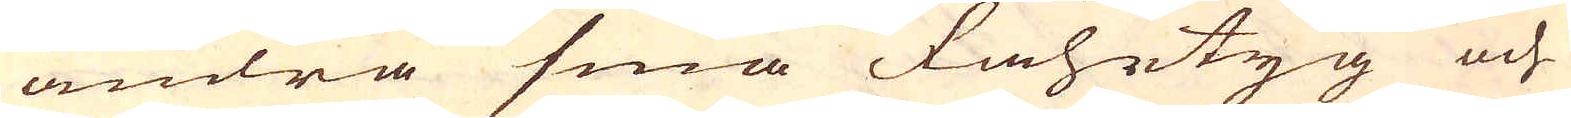andra små fahrtyg och
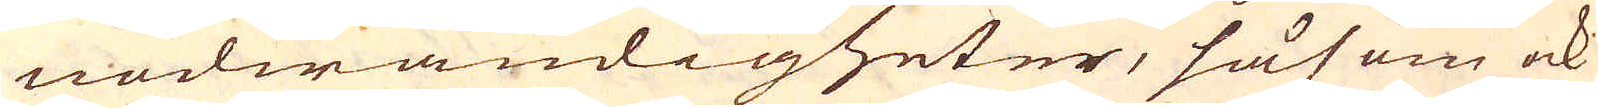nödwändigheter, såsom ock
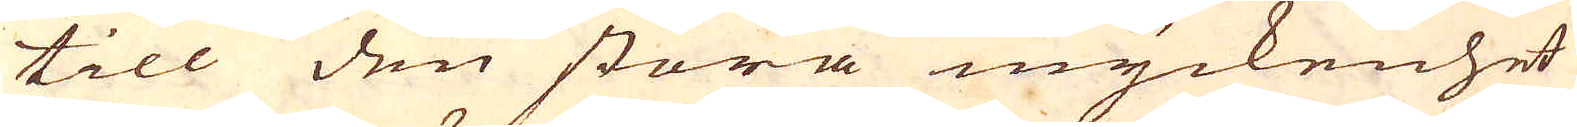till den stora myckenhet
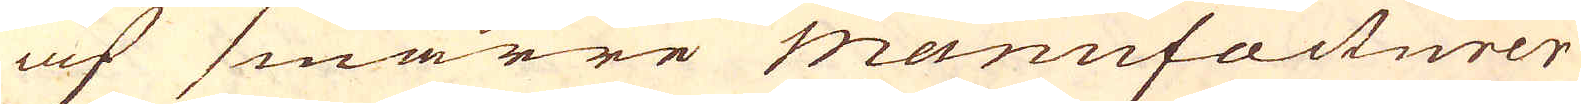af smärre manufacturer
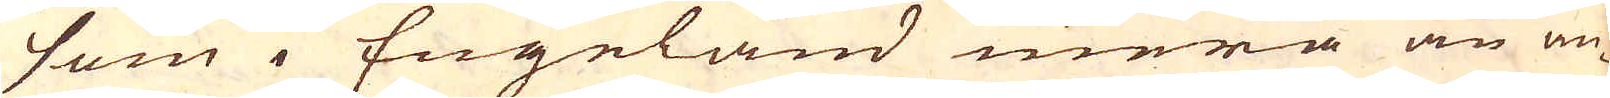som i Engeland mera än an-
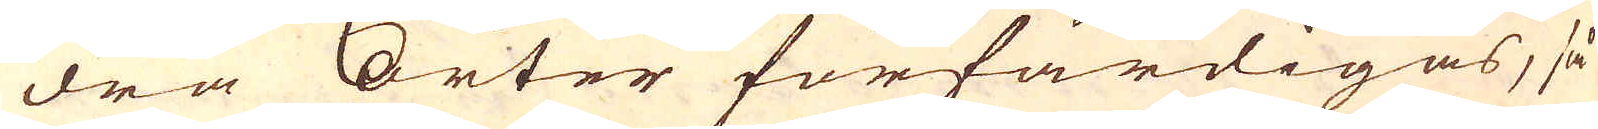dra Orter förfärdigas, så
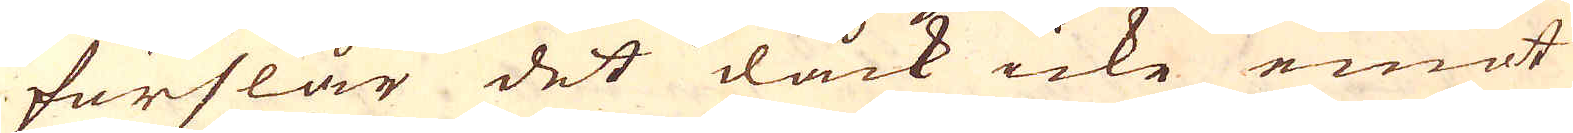förslår det dåck icke emot
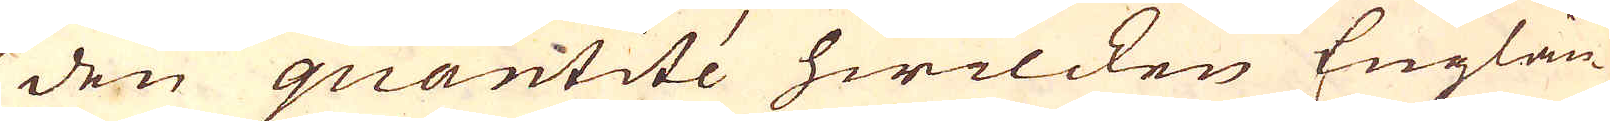den quantité hwilcken Englän-
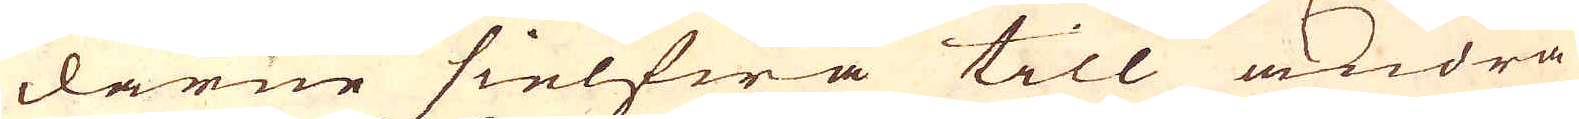darne sielfwa till andra
